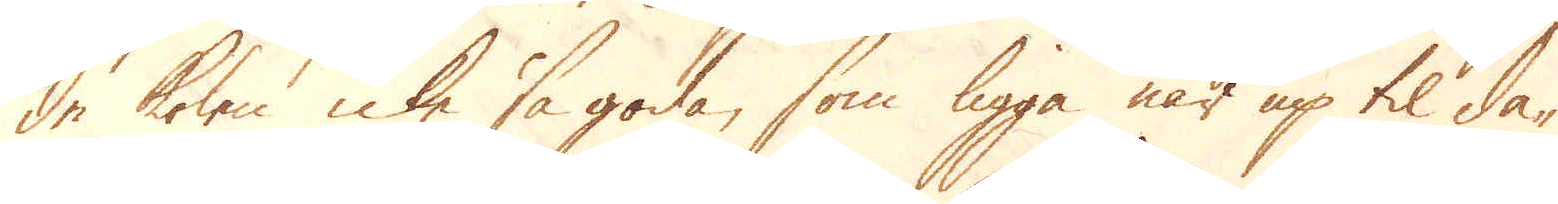de kolen icke så goda, som ligga när up til da-
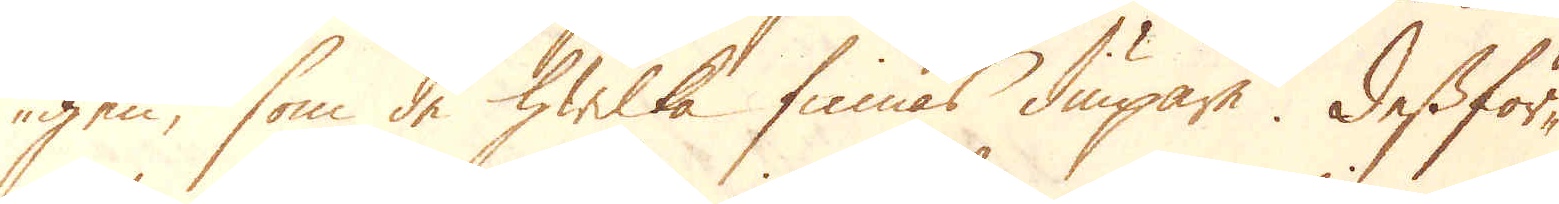gen, som de hwilka finnas diupare. Dessför-
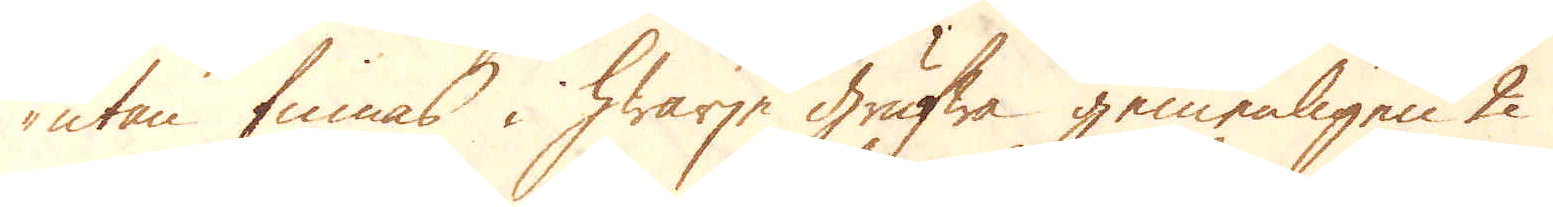utan finnas i hwarje grufwa gemenligen 2
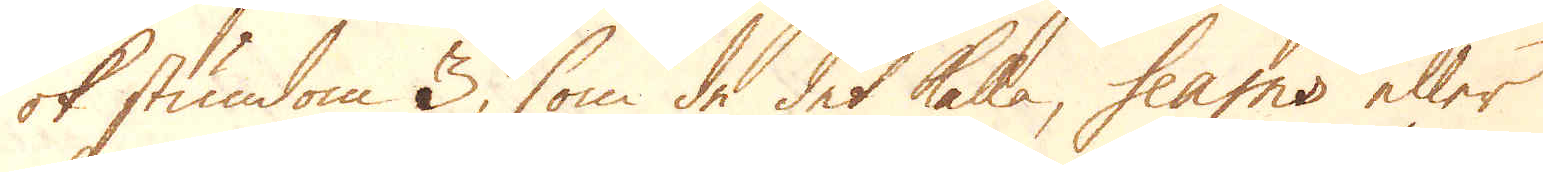ok stundom 3, som de det kalla, heaths eller
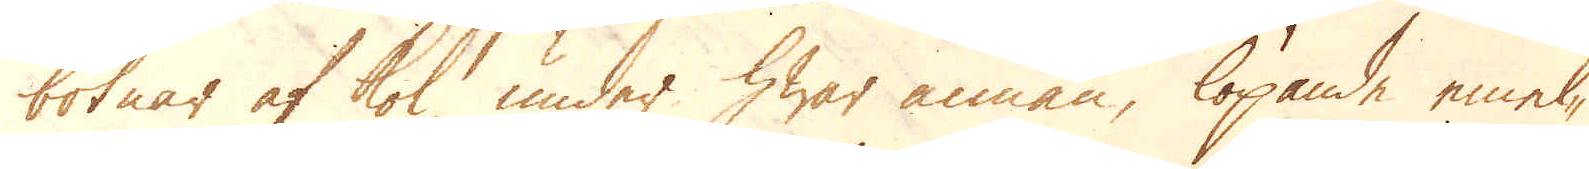botnar af kol under hwar annan, löpande emel-
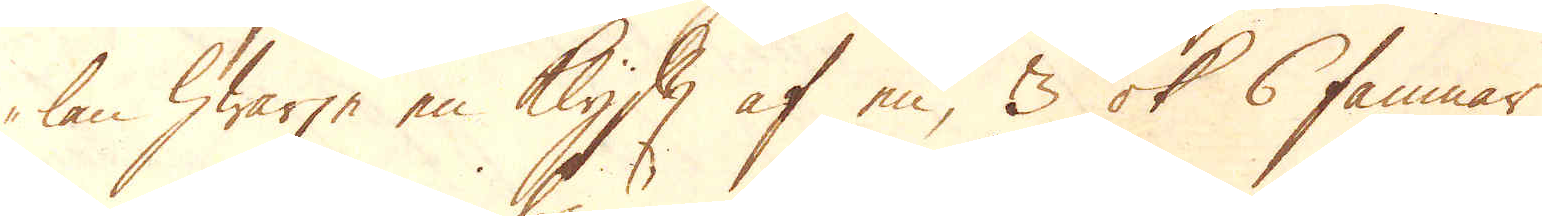lan hwarje en Klyft af en, 3 ok 6 famnar
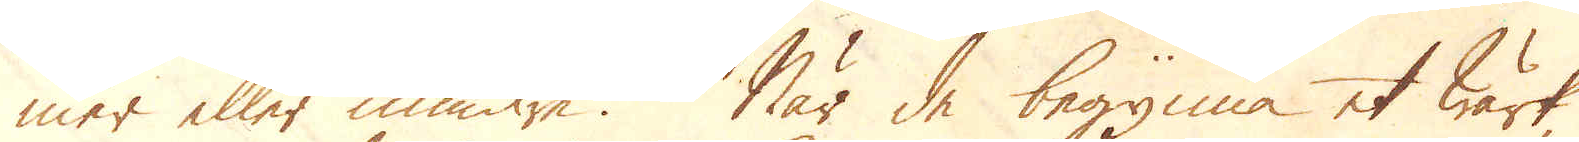mer eller mindre. När de begynna et wärk,
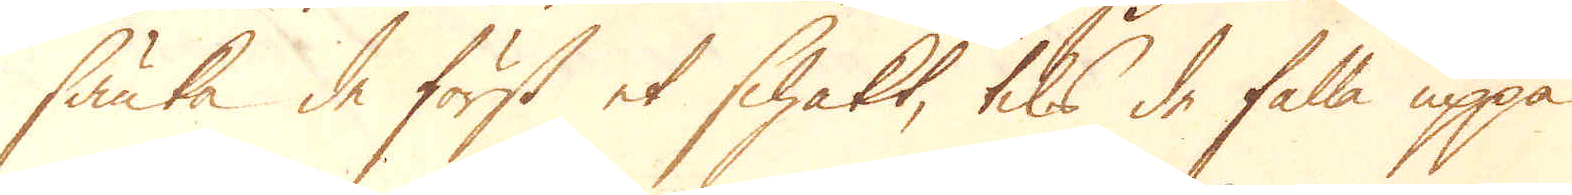sänka de först et schakt, tils de falla uppå
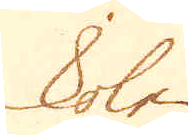kolen
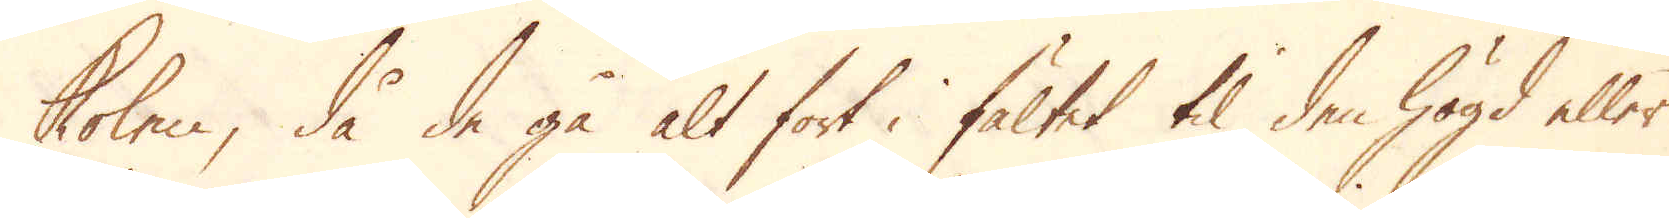kolen, då de gå alt fort i fältet til den högd eller
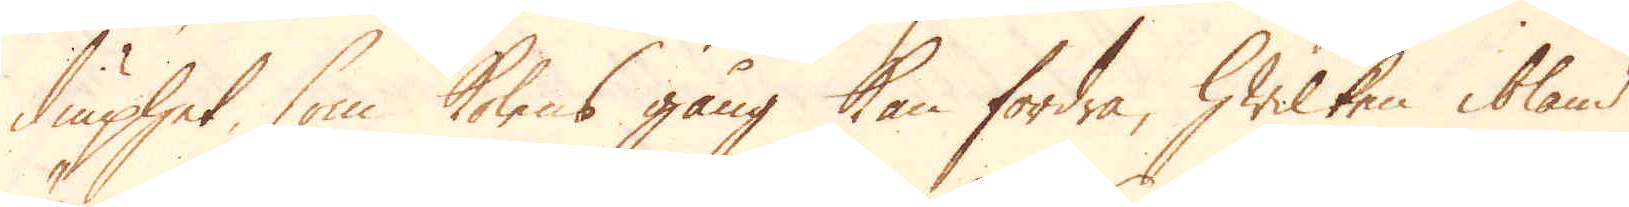diuphet som kolens gång kan fordra, hwilken ibland
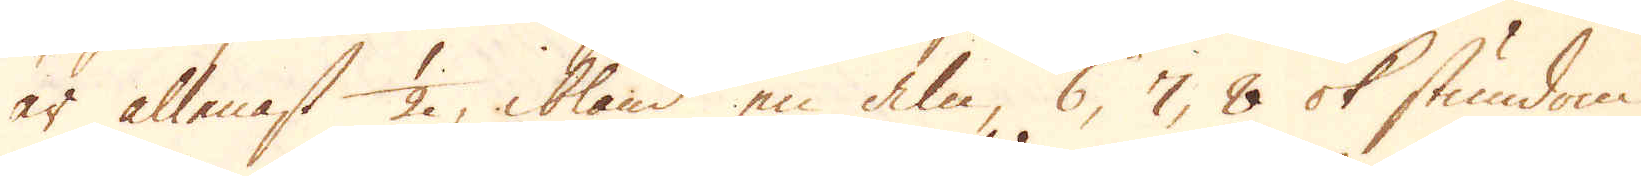är allenast 1/2, ibland en aln, 6, 7, 8 ok stundom
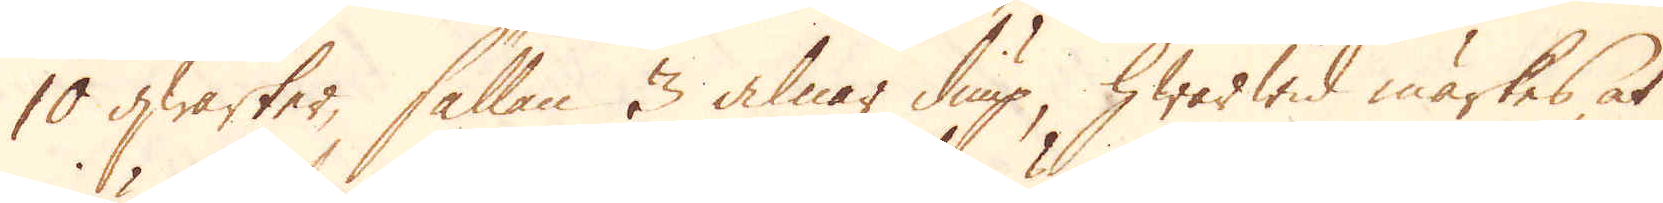10 qwarter, sällan 3 alnar diup, hwarwid märkes, at
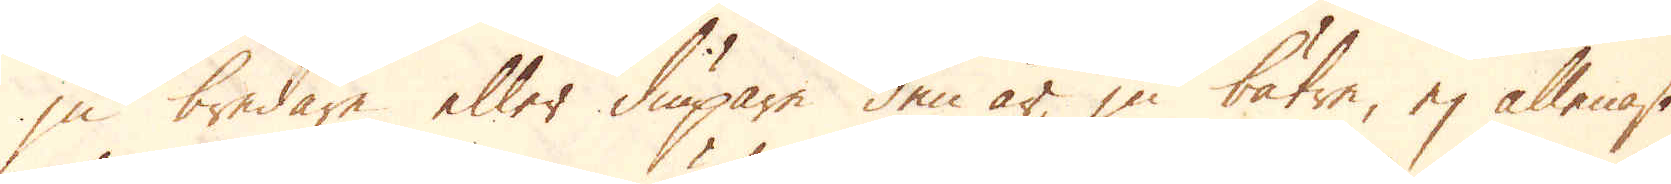ju bredare eller diupare den är, ju bätre, ej allenast
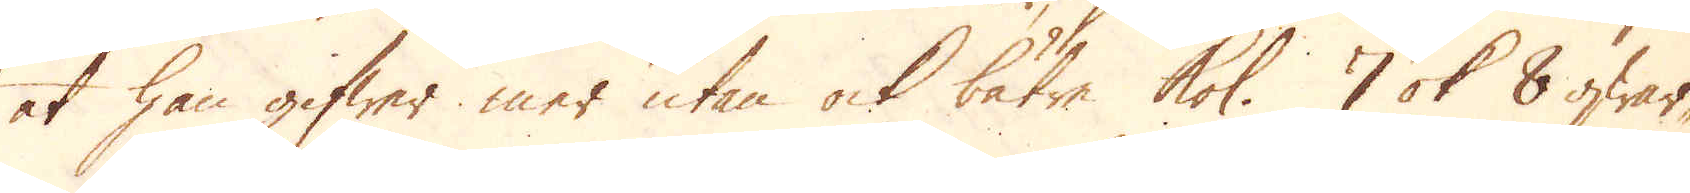at han gifwer mer utan ock bätre kol. 7 ok 8 qwar-
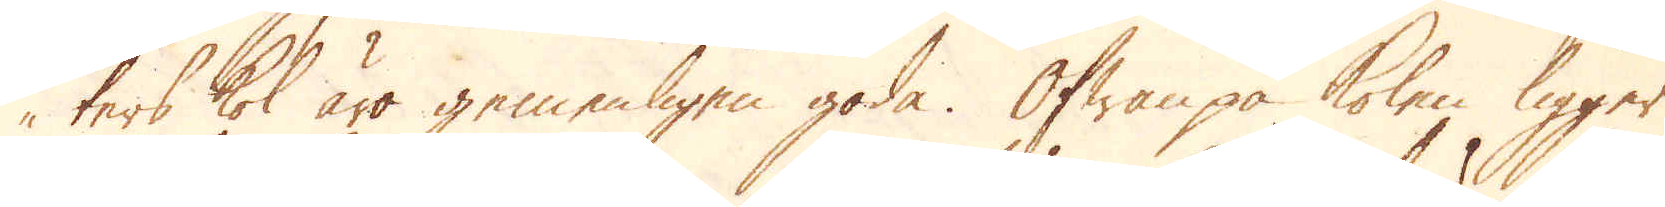ters kol äro gemenligen goda. Ofwanpå kolen ligger
